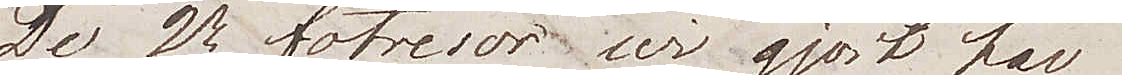De 2ne fotresor wi gjort  har
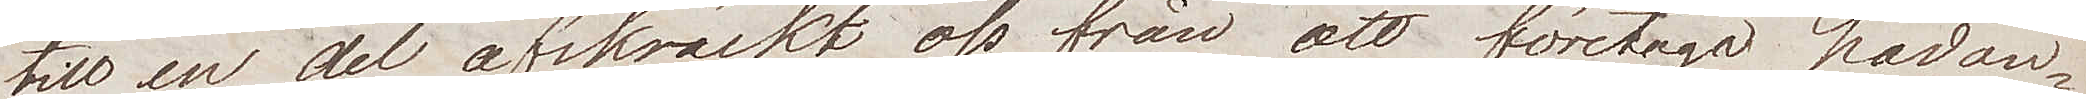till en del afskräckt oss från att företaga hädan¬
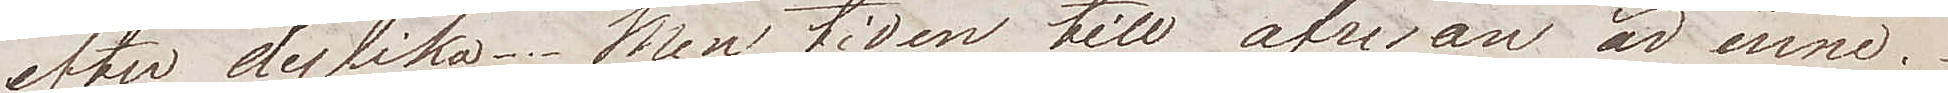efter dylika. Men tiden till afresan är inne.
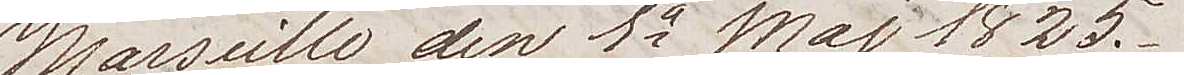Marseille den 1a Maj 1825.
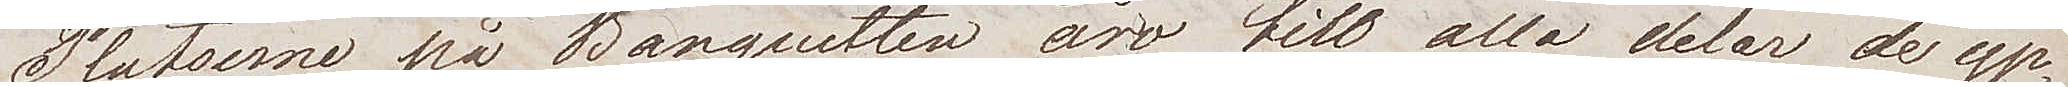Platserna på Banquetten äro till alla delar de yp¬
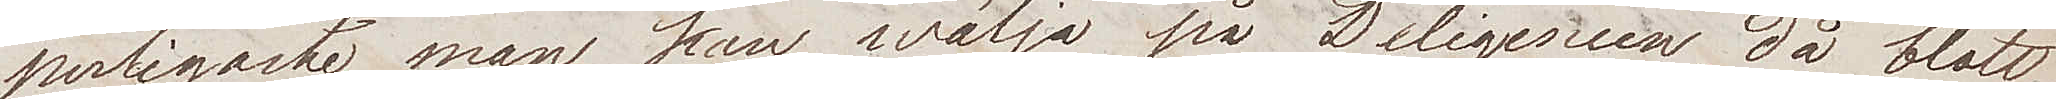perligaste man kan wälja på Diligencen, då blott
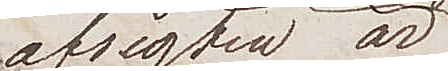afsigten är
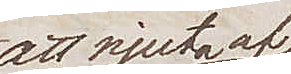att njuta af
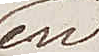en 
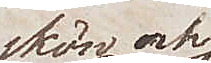skön och
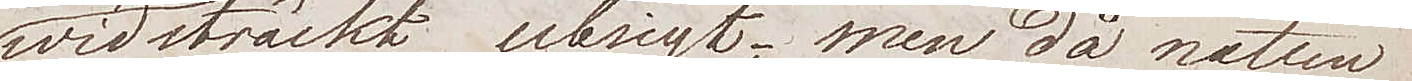widsträckt utsigt; men då natten
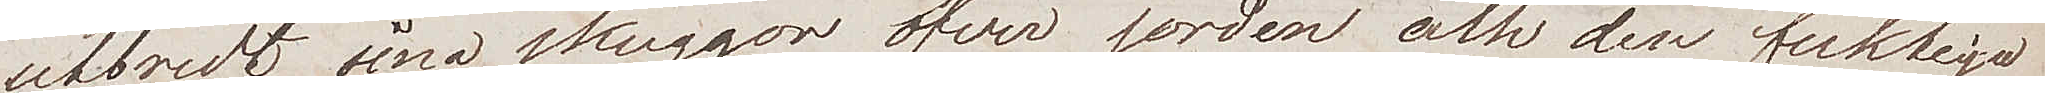utbredt sina skuggor öfver jorden och den fuktiga
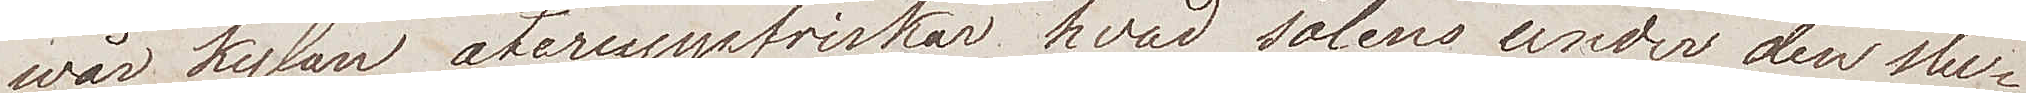wårkylan återuppfriskar hvad solen under den slu¬
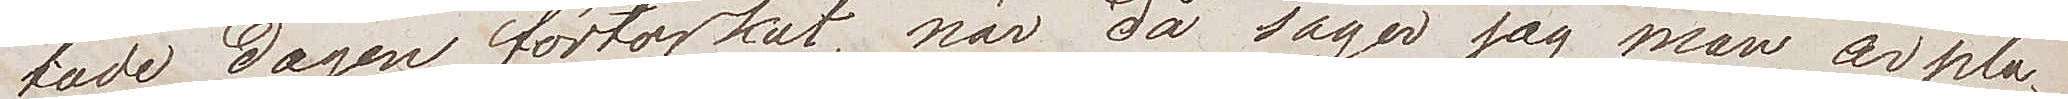tade dagen förtorkat, när då säger jag man är pla¬
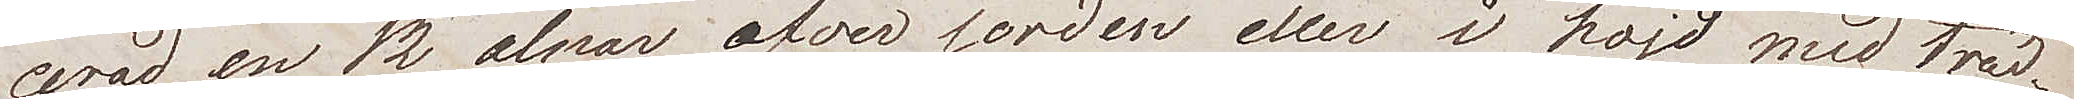cerad en 12 alnar öfver jorden eller i höjd med träd¬
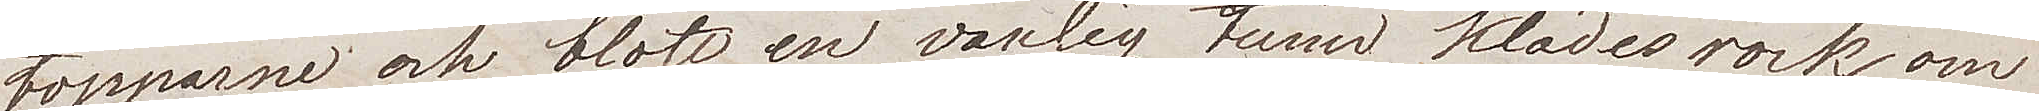topparne och blott en vanlig tunn klädesrock om¬
